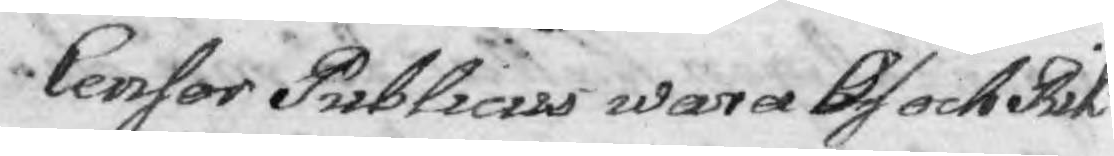Censor Publicus wara Oss och Rik¬
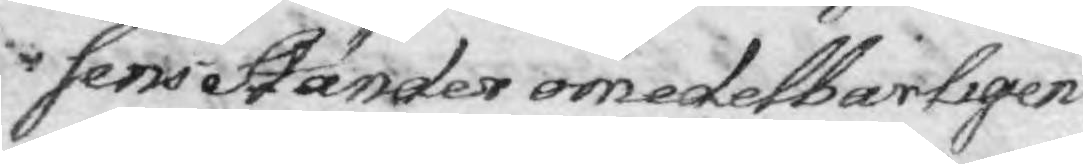sens Ständer omedelbarliigen
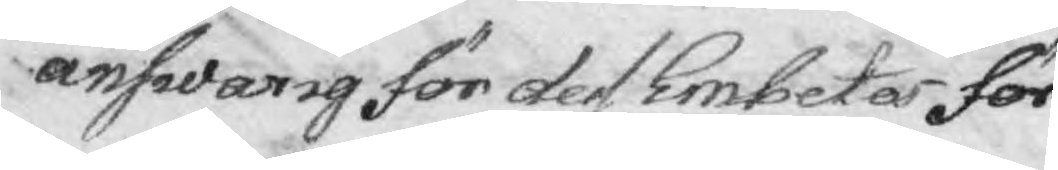answarig för des Embetes för¬
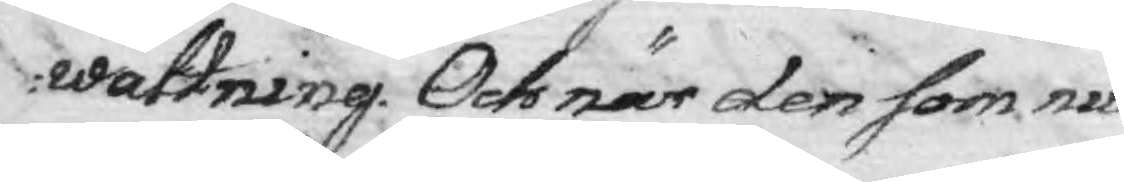valtning. Och när den som nu
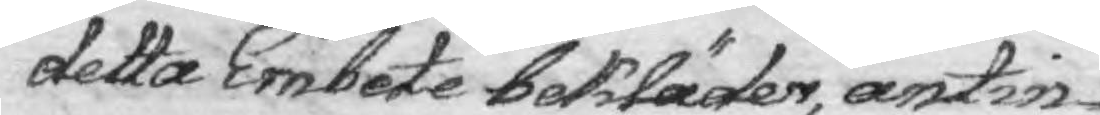detta Embete bekläder, antin¬
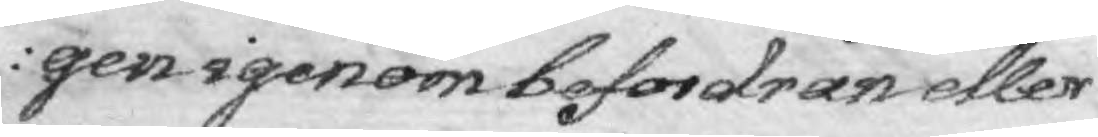gen igenom befordran eller
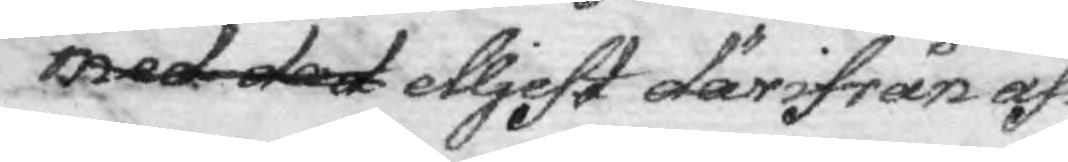med det elljest därifrån af¬
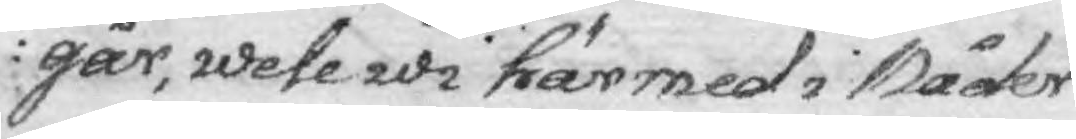går, wete wi härmed i Nåder
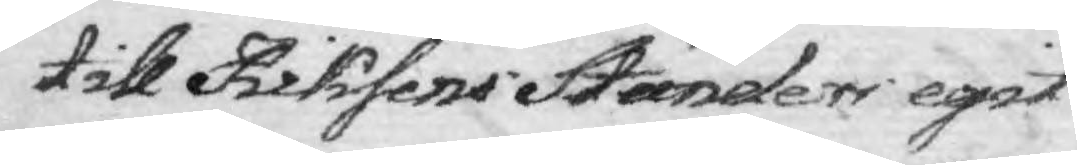till Riksens Ständer egit
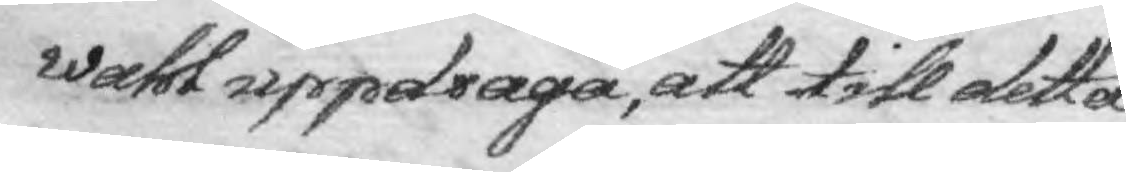wahl uppdraga, att till detta
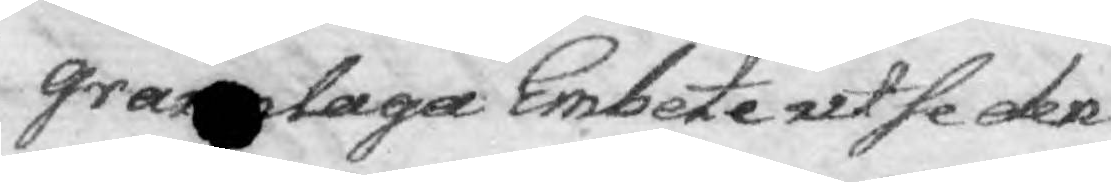grannlaga Embete utse den
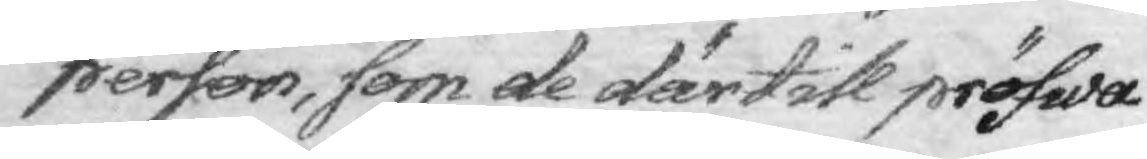person, som de därtill pröfwa
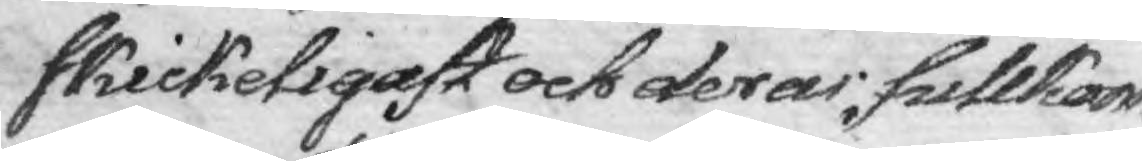skickeligast och deras fullkom¬
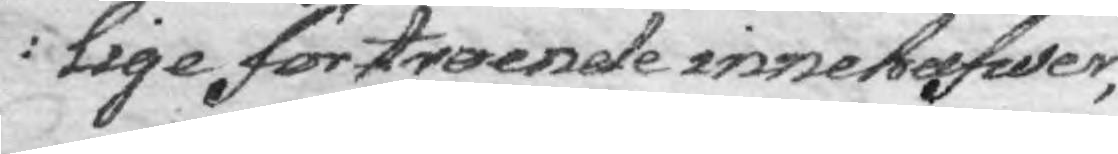lige förtroende innehafwer,
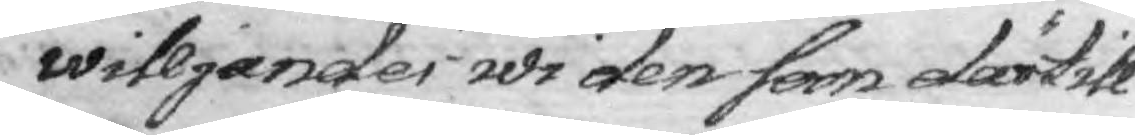willjandes wi den som därtill
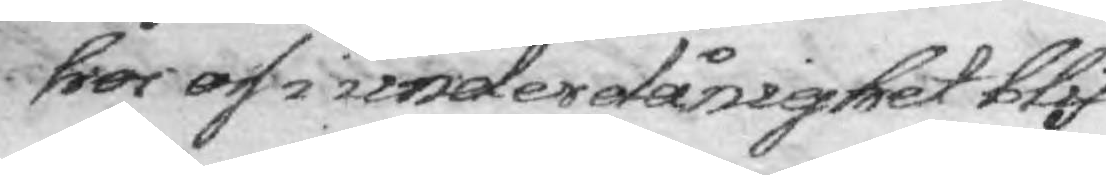hos os i underdånighet blif¬
